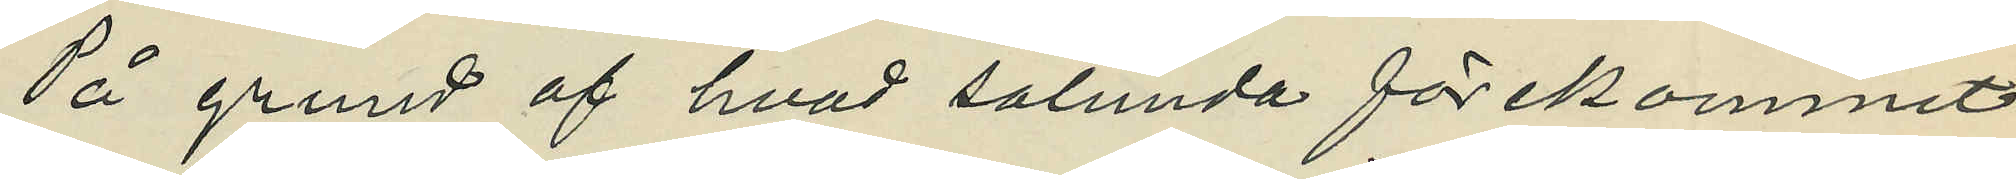På grund af hvad sålunda förekommit
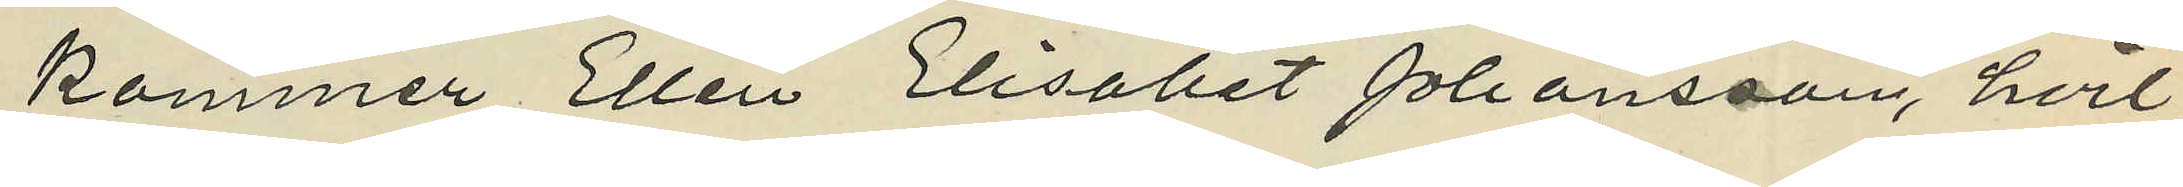kommer Ellen Elisabet Johansson, hvil¬
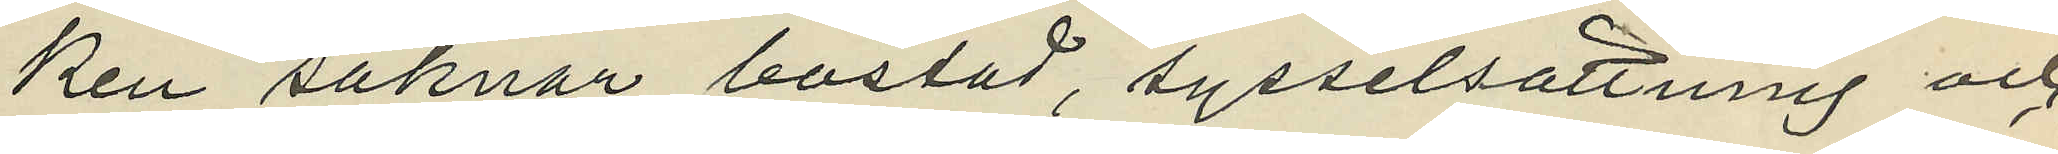ken saknar bostad, sysselsättning och
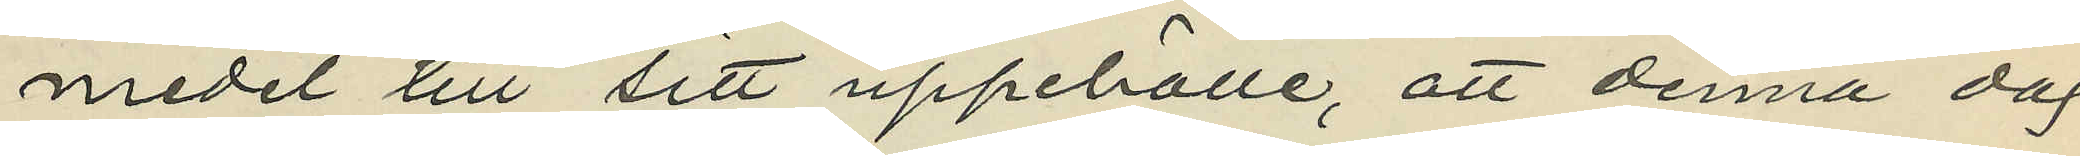medel till sitt uppehälle, att denna dag
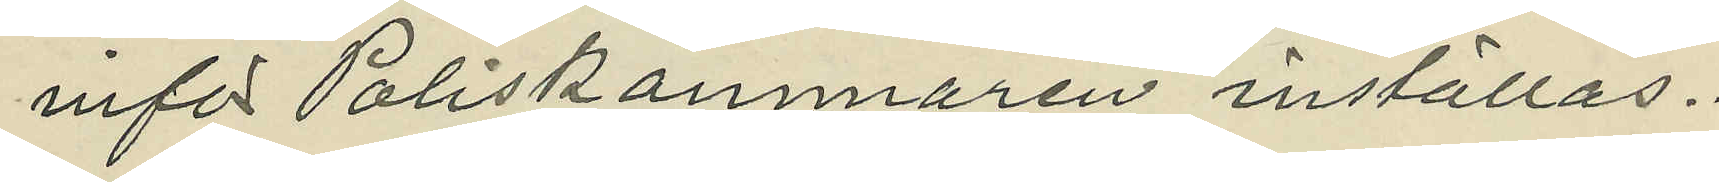inför Poliskammaren inställas.
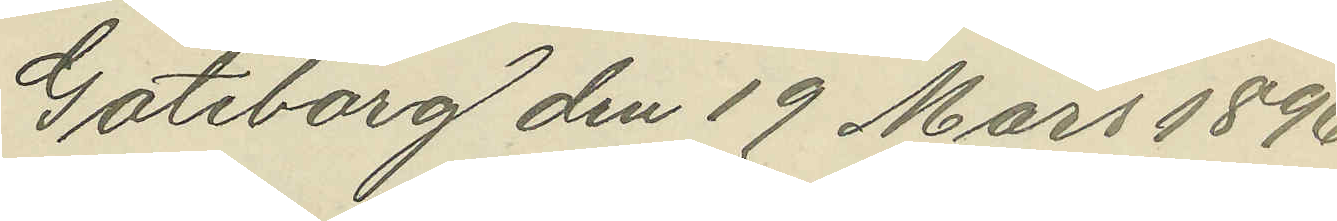Göteborg den 19 Mars 1896.
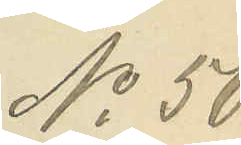No 50.
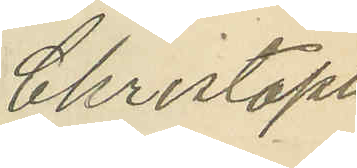Christoph
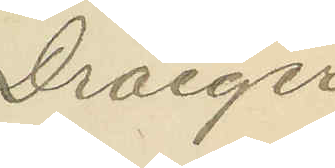Dräeger
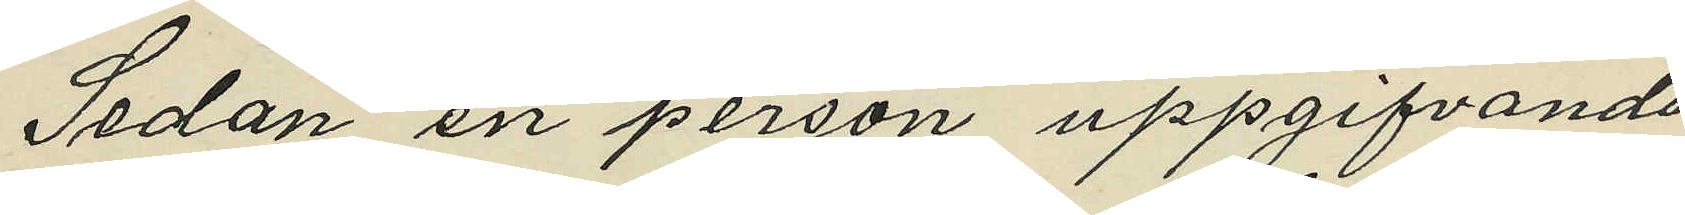Sedan en person uppgifvande
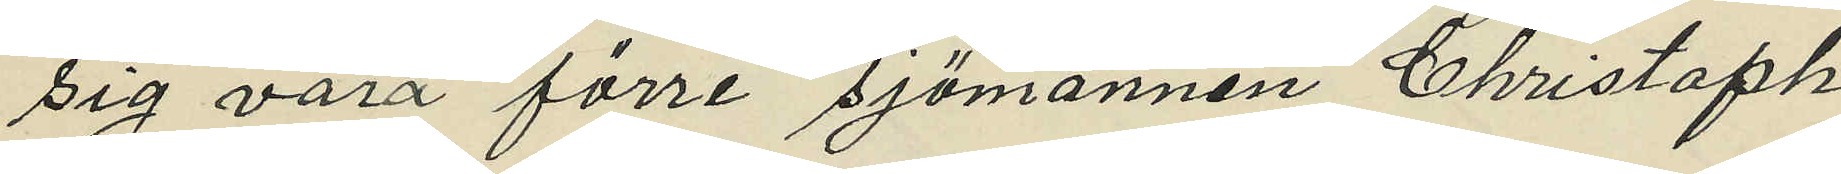sig vara förre sjömannen Christoph
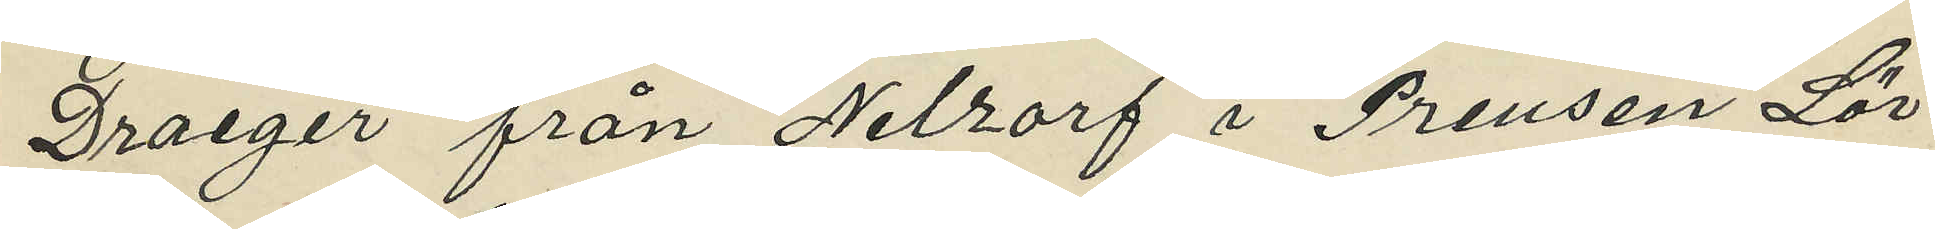Draeger från Nelzorf i Preusen Lör¬
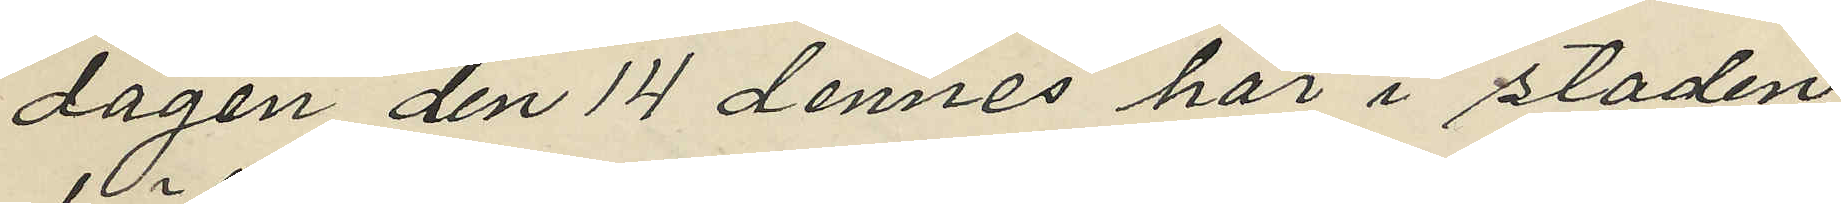dagen den 14 dennes här i staden
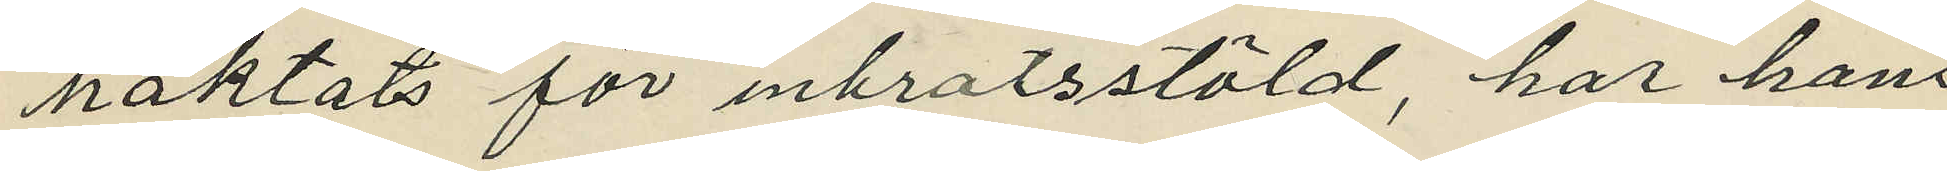häktats för inbrotsstöld, har hans
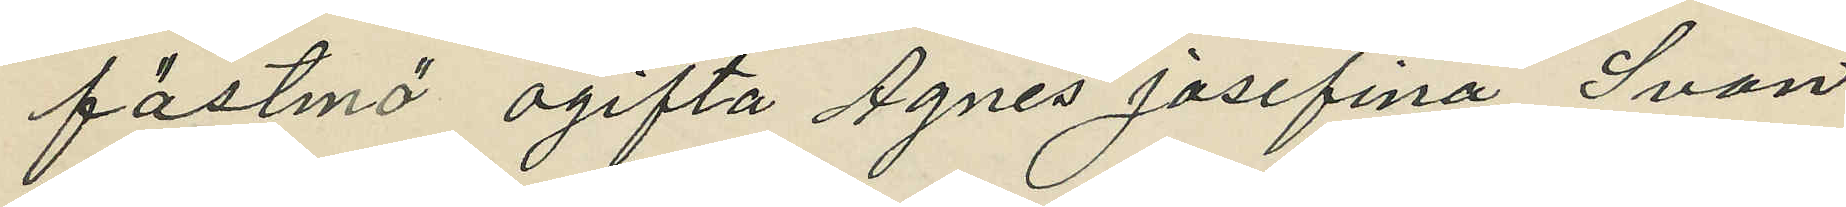fästmö ogifta Agnes Josefina Svan
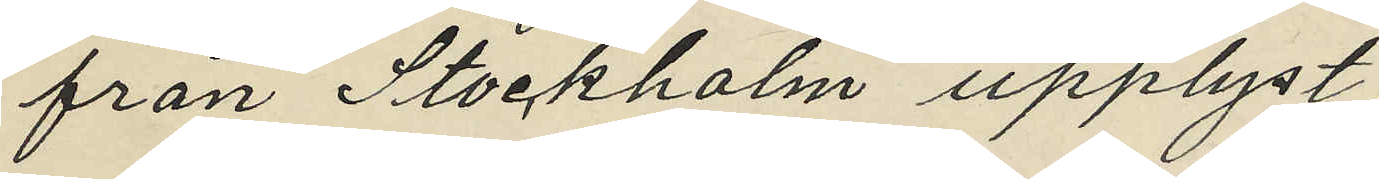från Stockholm upplyst,
